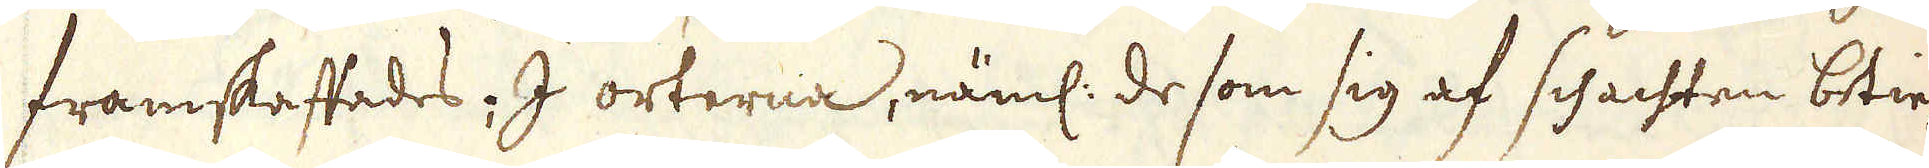framskaffades; I orterna, näml: de som sig af schachten betie-
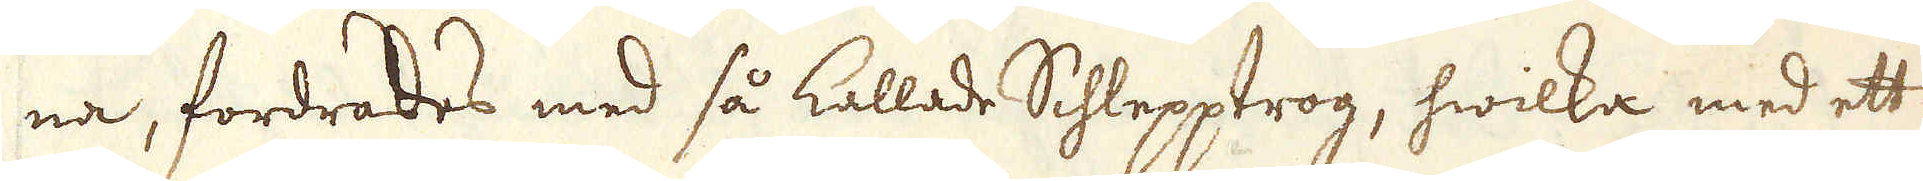na, fordrades med så kallade Schlepptrog, hwilka med ett
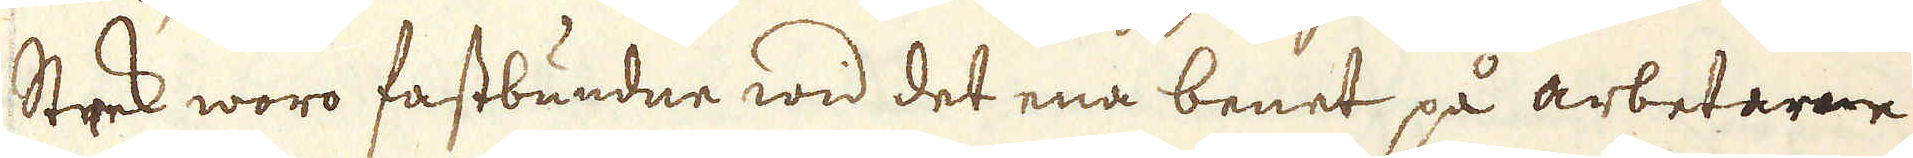Strek woro fastbundne wid det ena benet på arbetarne
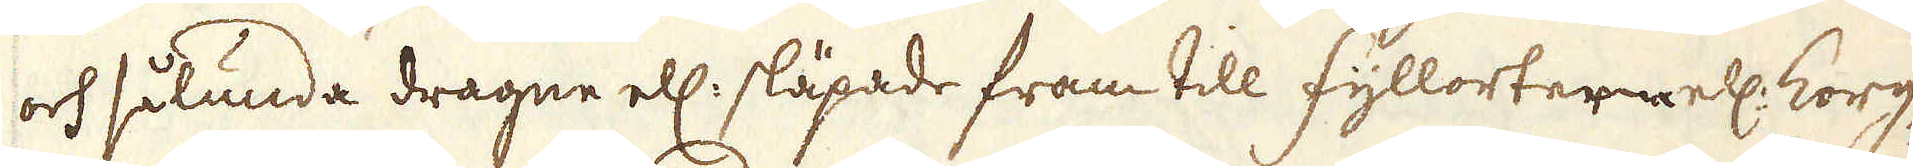och sålunda dragne ell: släpade fram till fyllorterne ell: korg-
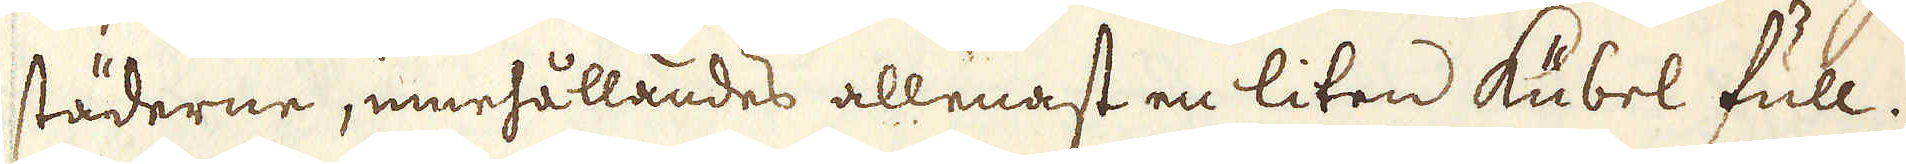städerne, innehållandes allenast en liten Kubel full.
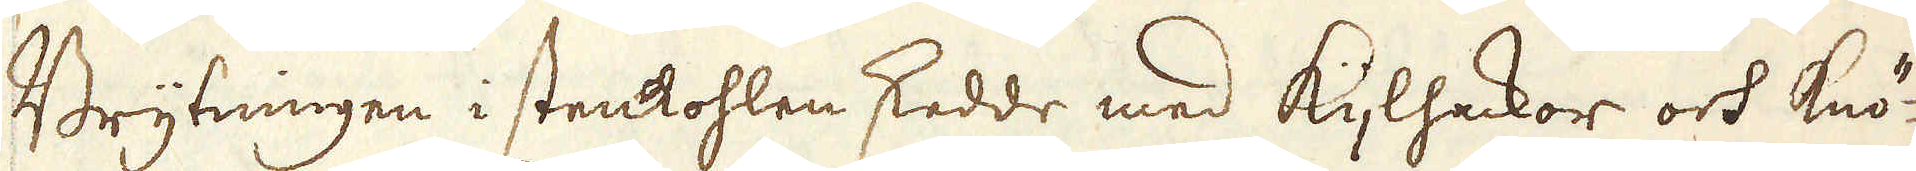Brytningen i stenkohlen skedde med Kijlhackor och Knö-
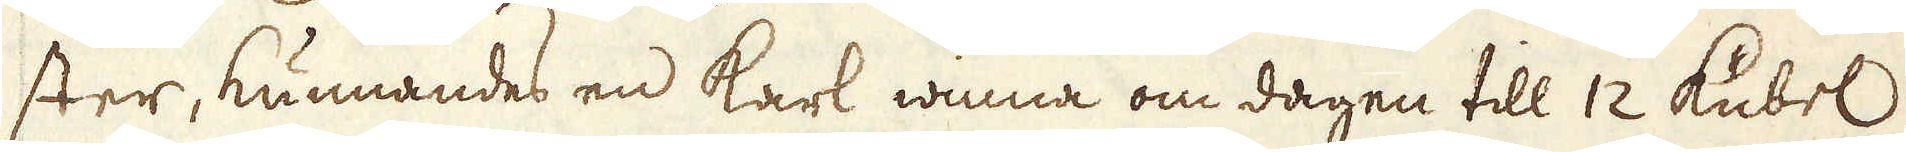ster, kunnandes en karl winna om dagen till 12 Kubel
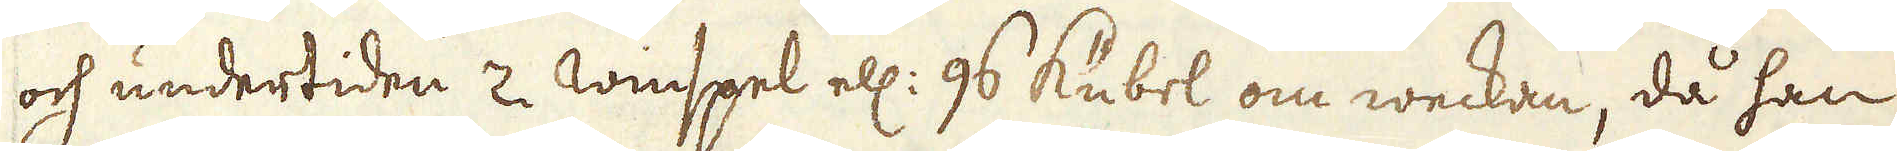och undertiden 2 winspel ell: 96 kubel om weckan, då han
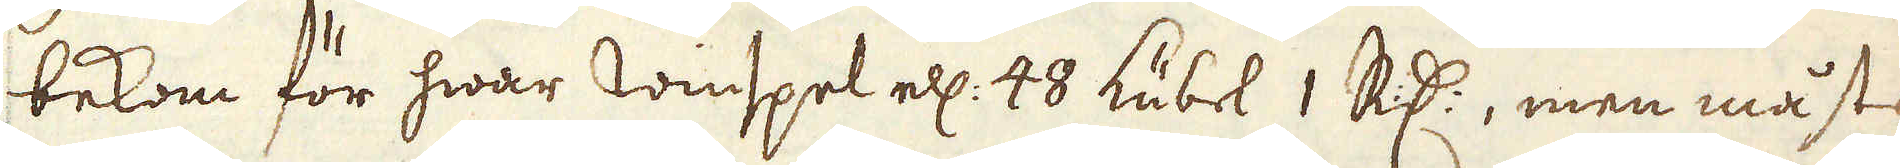bekom för hwar winspel ell: 48 kubel 1 R:dr, men måste
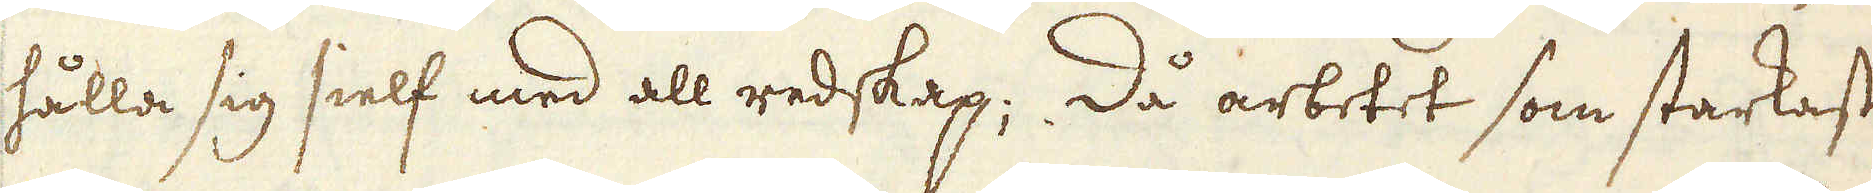hålla sig sielf med all redskap; Då arbetet som starkast
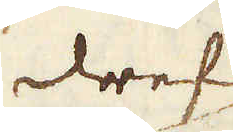drefs
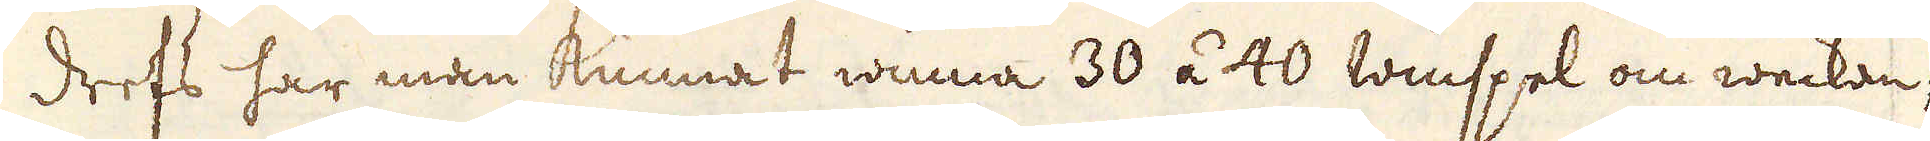drefs har man kunnat winna 30 à 40 winspel om weckan;
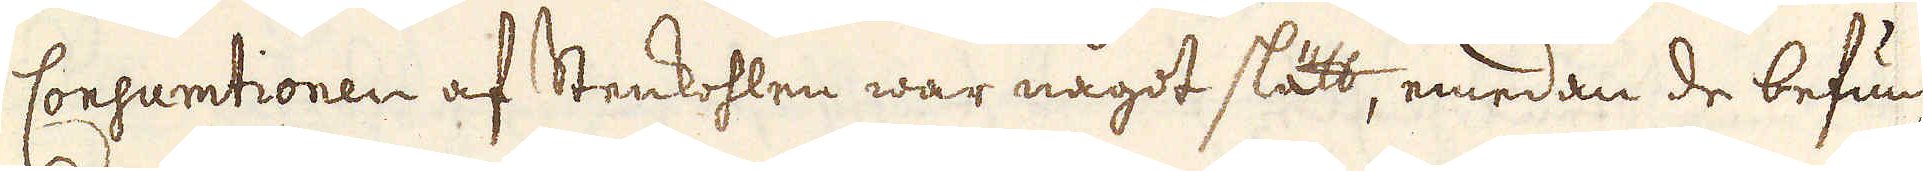Consumtionen af Stenkohlen war någodt slätt, emedan de befun-
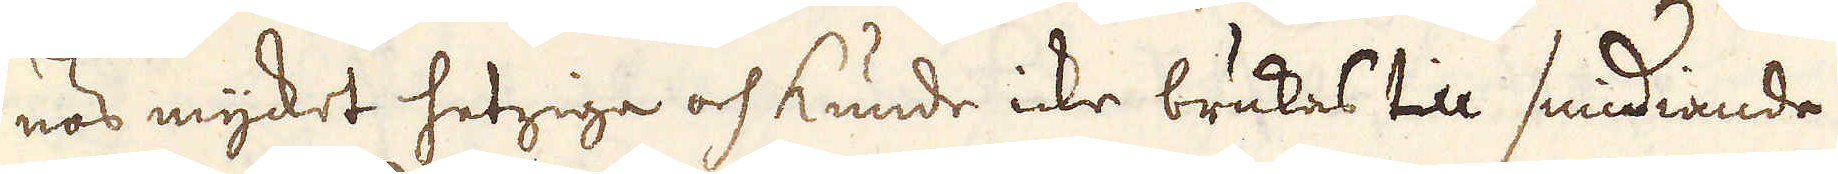nos mycket hetziga och kunde icke brukas till smidiande
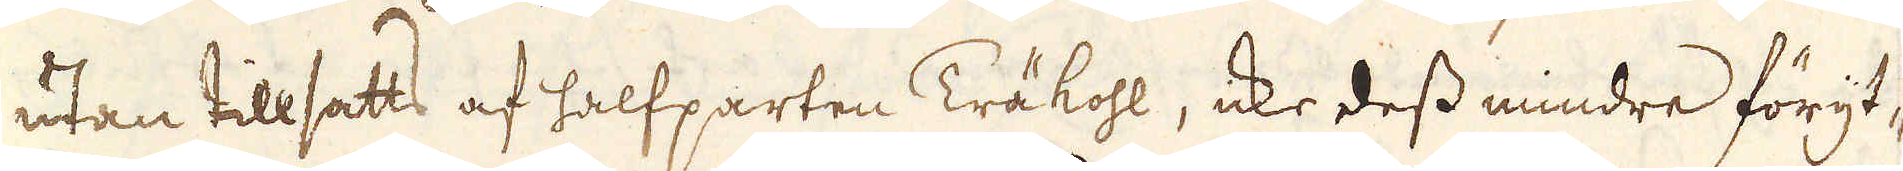utan tillsatts af halfparten Träkohl, icke dess mindre föryt-
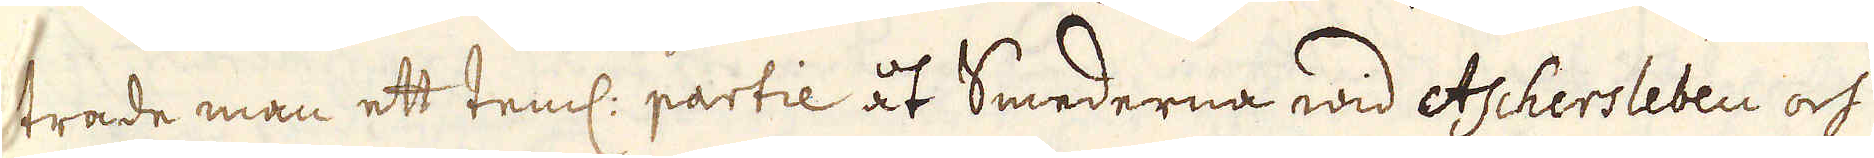trade man ett teml: partie åt Smederna wid Aschersleben och
